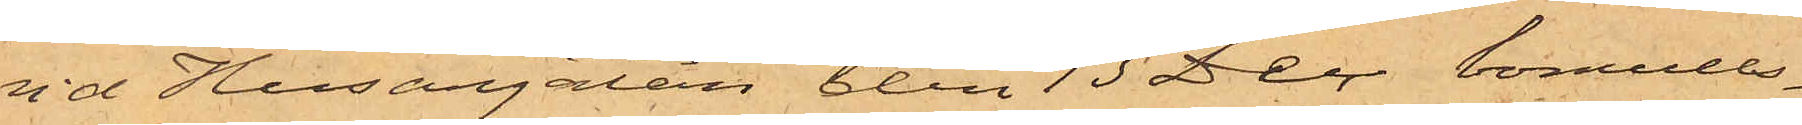vid Husargatan den 13 Dec bomulls¬
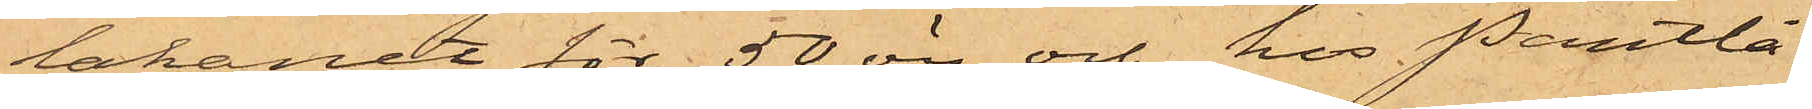lakanet för 50 öre och hos Pantlå¬
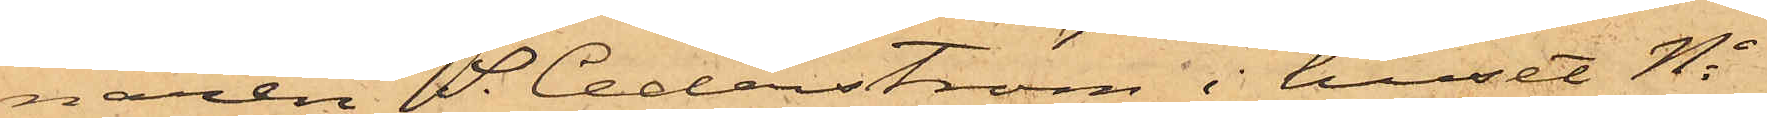naren S. Cederström i huset No
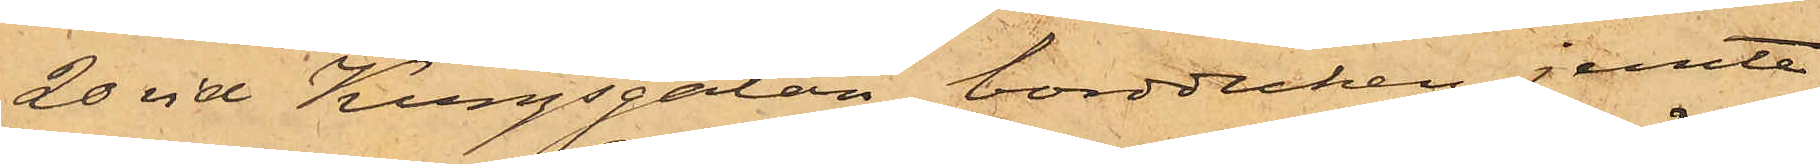20 vid Kungsgatan bordduken jemte
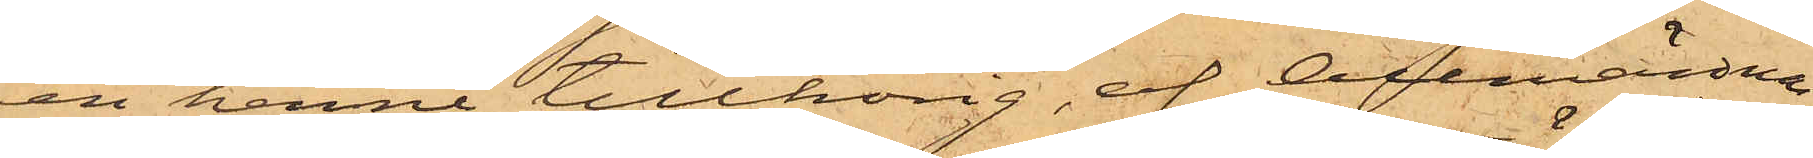en henne tillhörig, af Allmänna
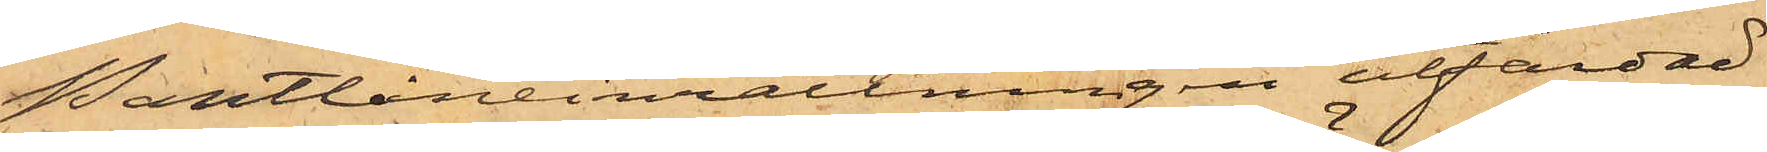Pantlåneinrättningen utfärdad
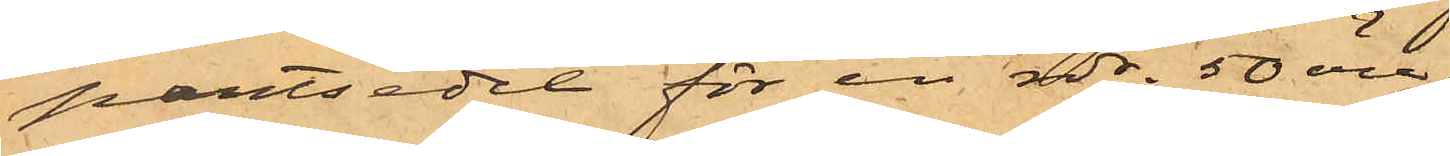pantsedel för en rdr. 50 öre;
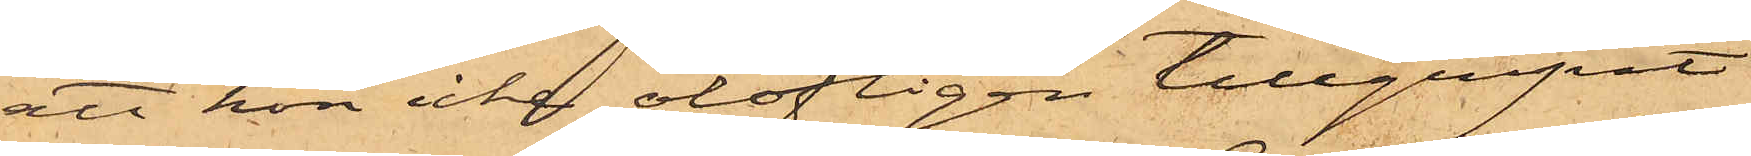att hon icke olofligen tillgripit
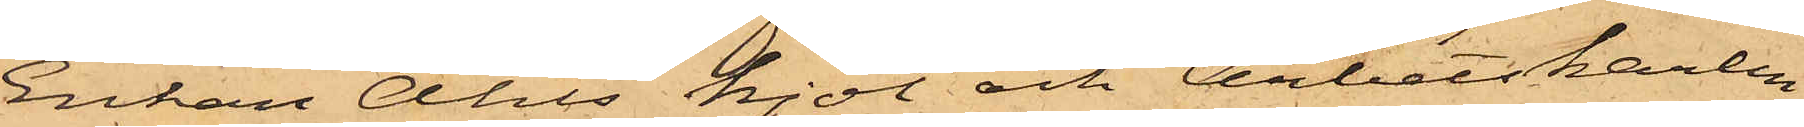Enkan Ahls kjol och Arbetskarlen
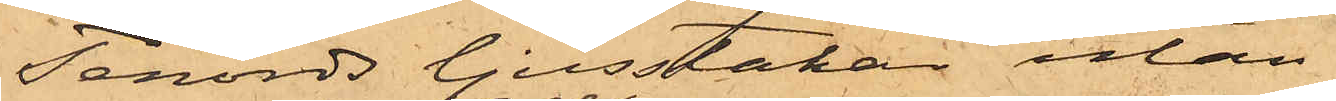Tenords ljusstakar utan
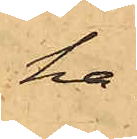ha¬
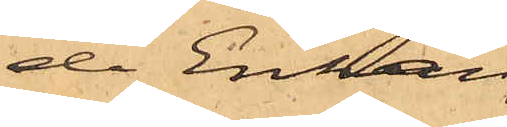de Enkan
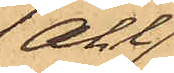Ahl
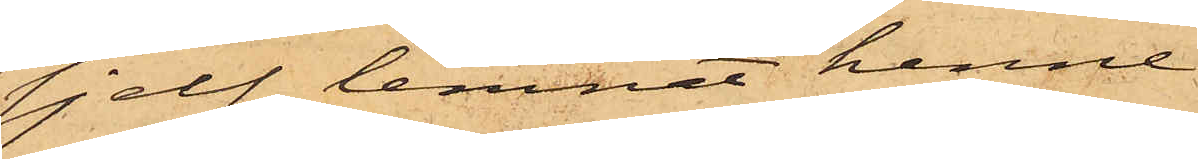sjelf lemnat henne
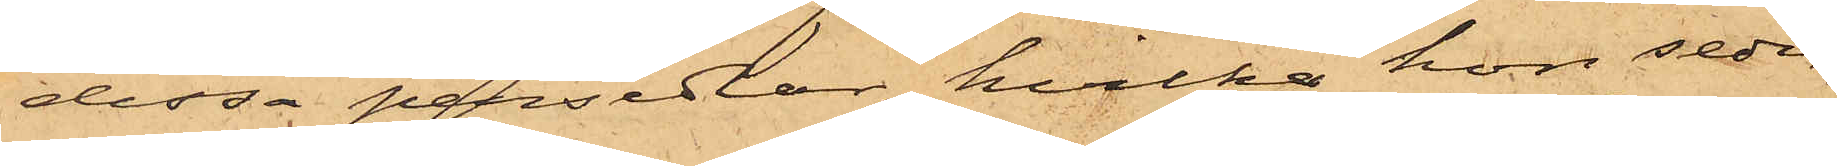dessa persedlar, hvilka hon seder¬
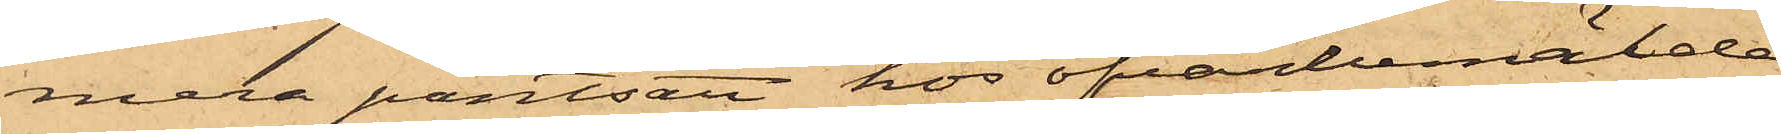mera pantsatt hos ofvanbemälde
